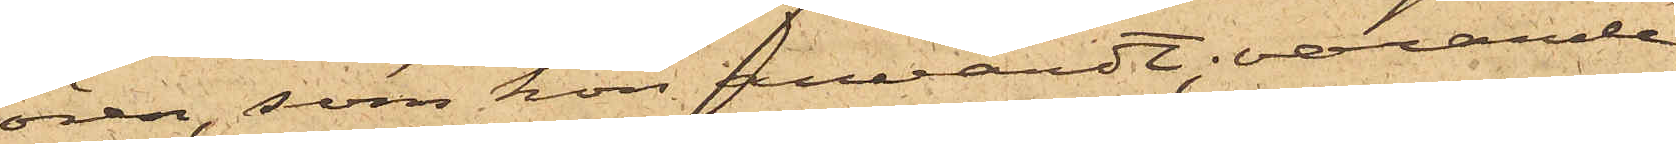ören, som hon användt; varande
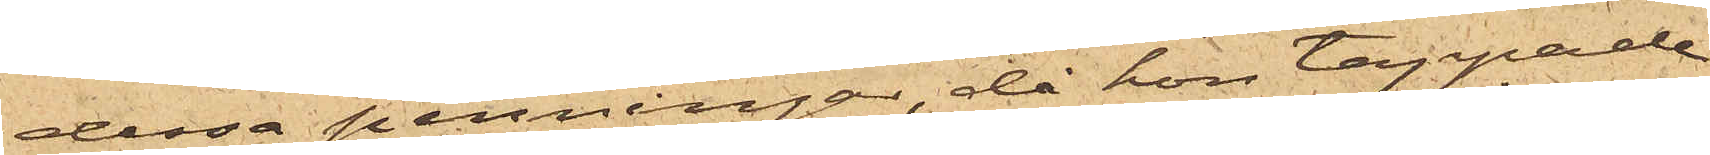dessa penningar, då hon tappade
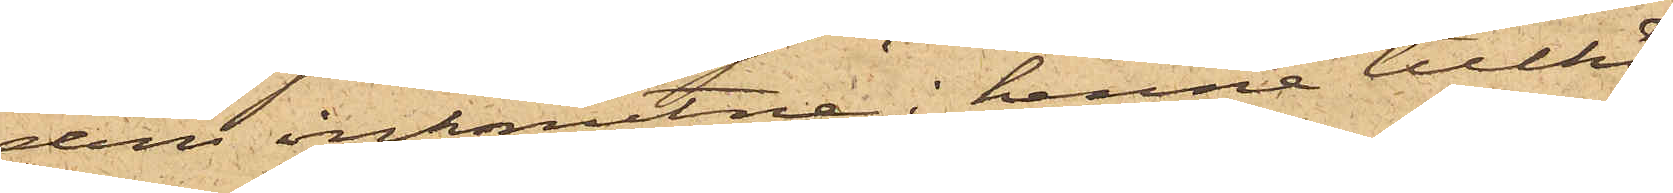dem inknutne i henne tillhö¬
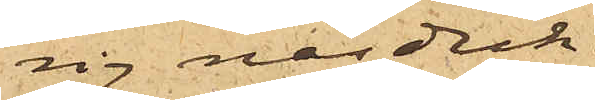sig näsduk.
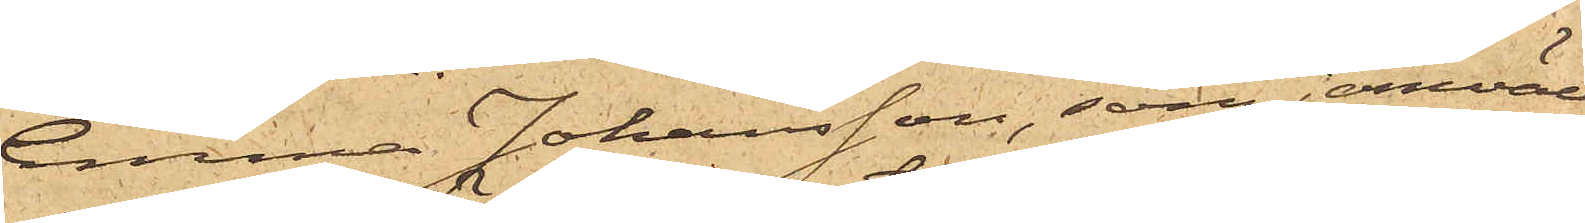Emma Johansson, som jemväl
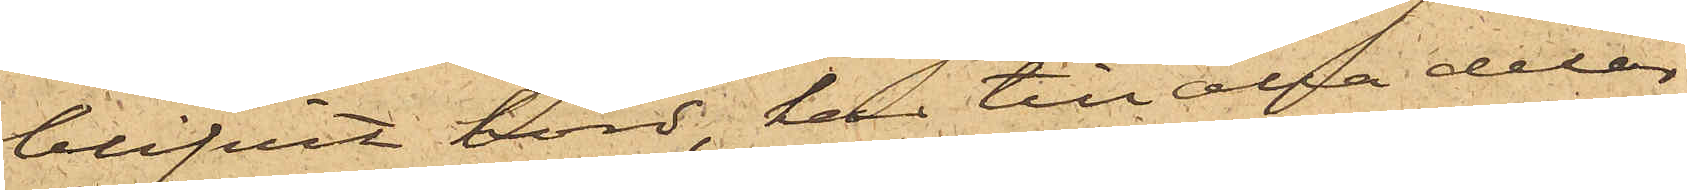blifvit hörd, har till alla delar
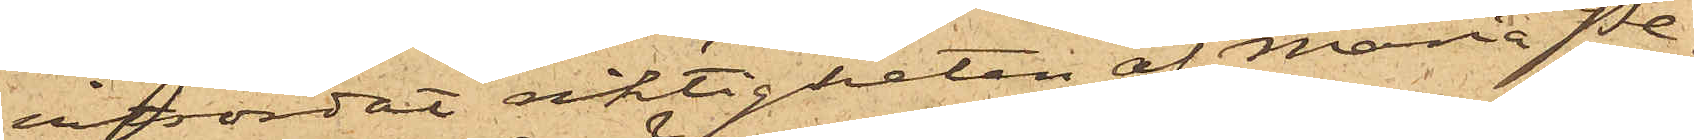vitsordat riktigheten af Maria Pe¬
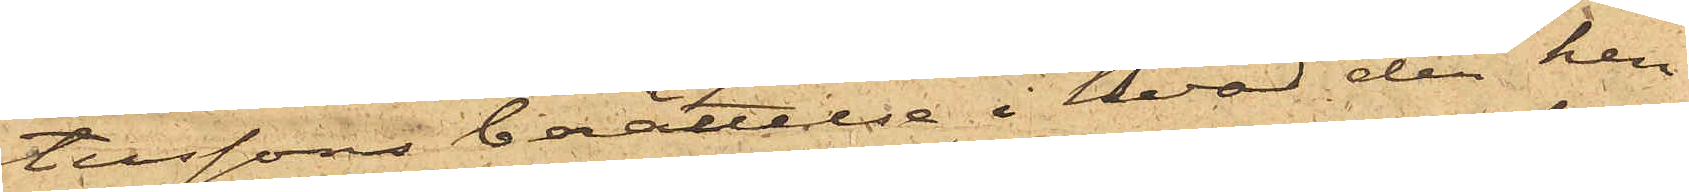terssons berättelse i hvad den hen¬
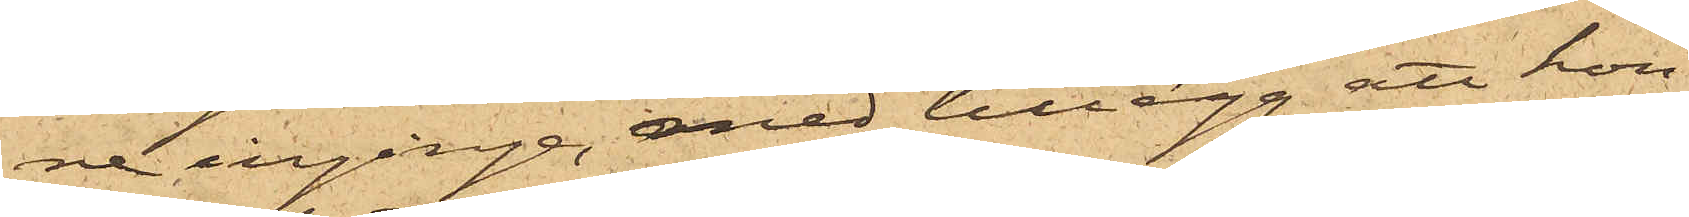ne inginge, med tillägg att hon
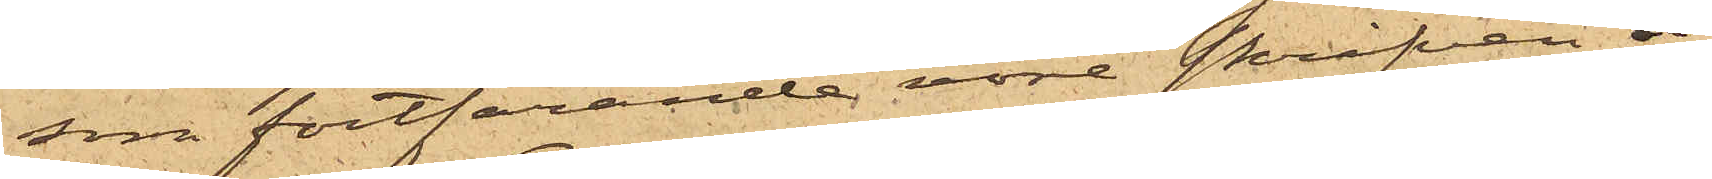som fortfarande vore skrifven å
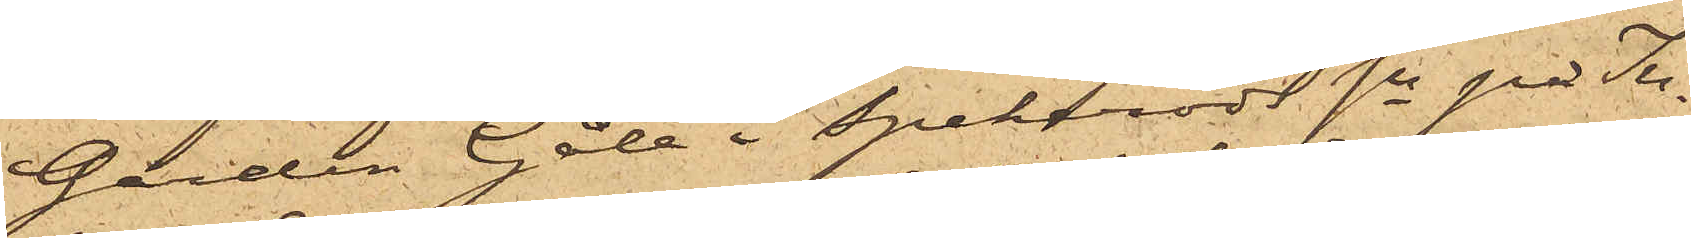Gården Gåle i Spekeröds Sn på In¬
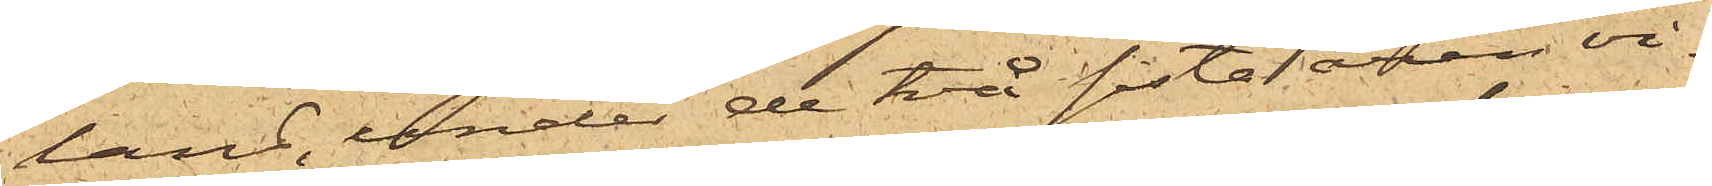land, under de två sista åren vi¬
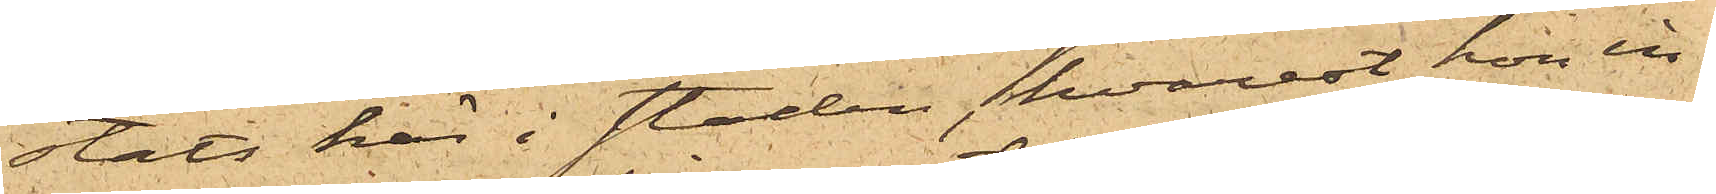stats här i staden, hvarest hon in¬
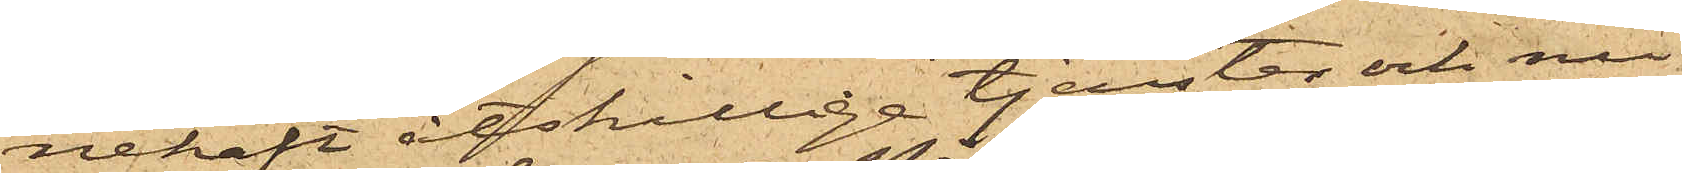nehaft åtskillige tjenster och nu
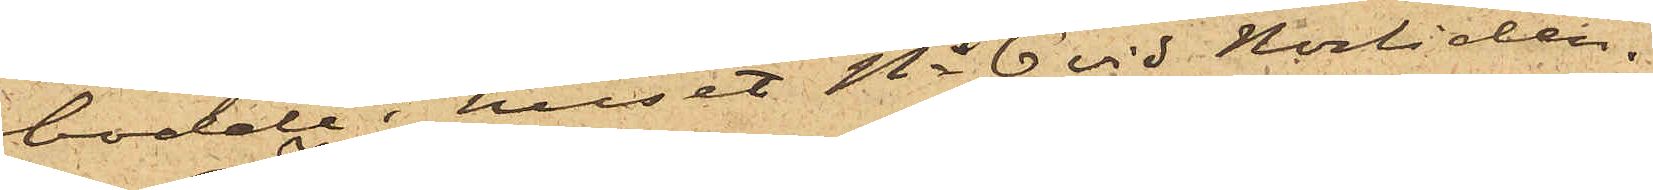bodde i huset No 6 vid Norliden.
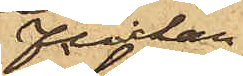Flickan
